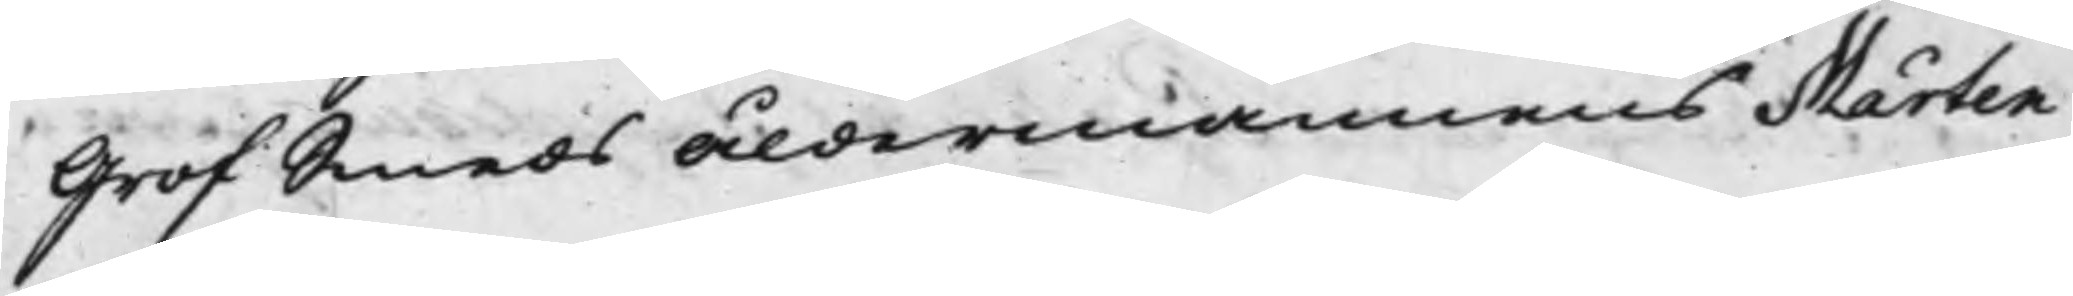GrofSmeds åldermannens Mårten
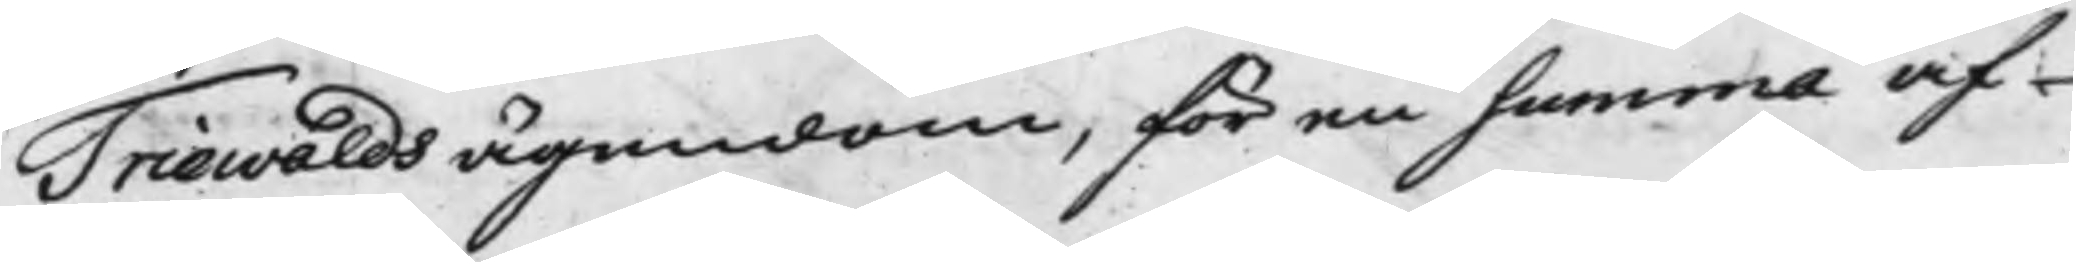Triewalds ägendom, för en summa af
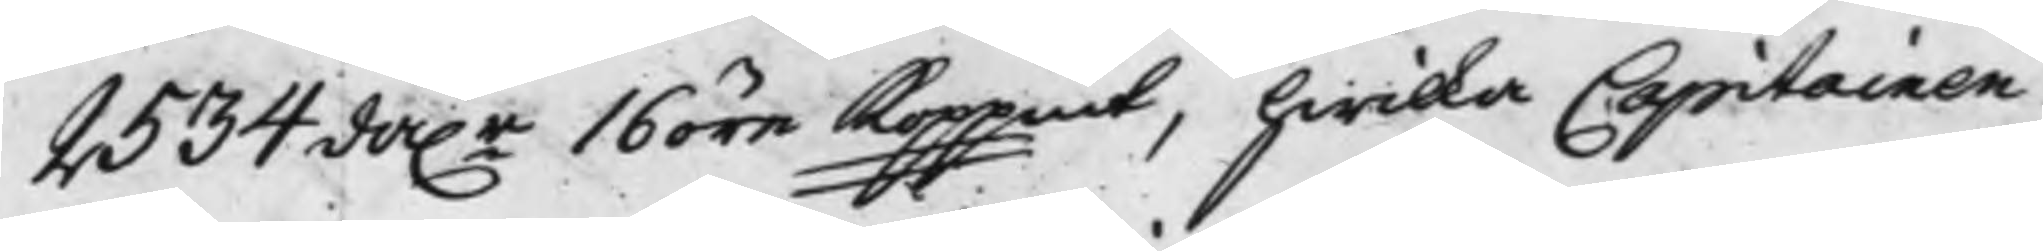2534 da.r 16 öre Koppmt, hwilka Capitainen
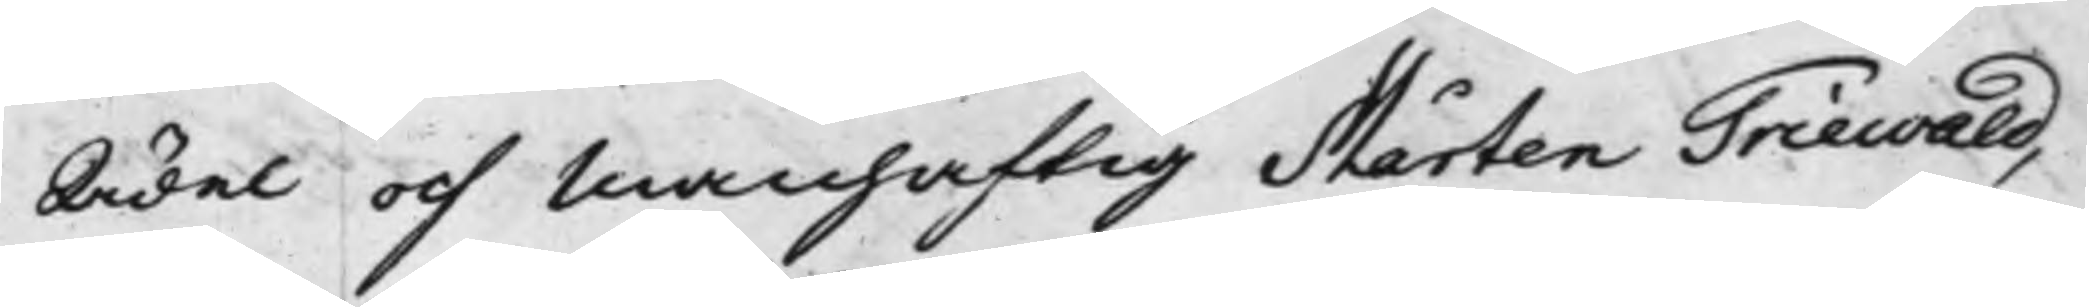Ädel och Manhaftig Mårten Triewald,
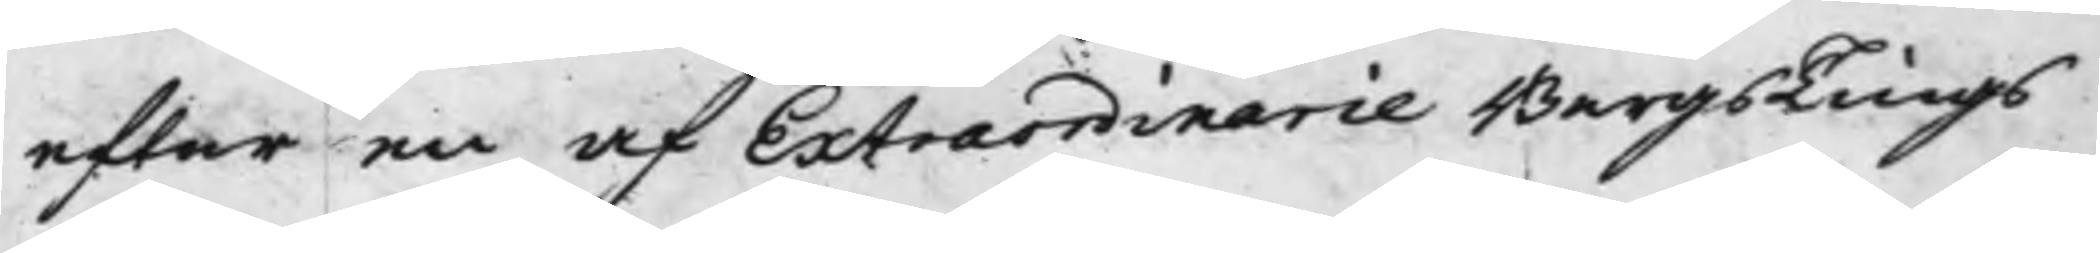efter en af Extraordinarie BergsTings¬
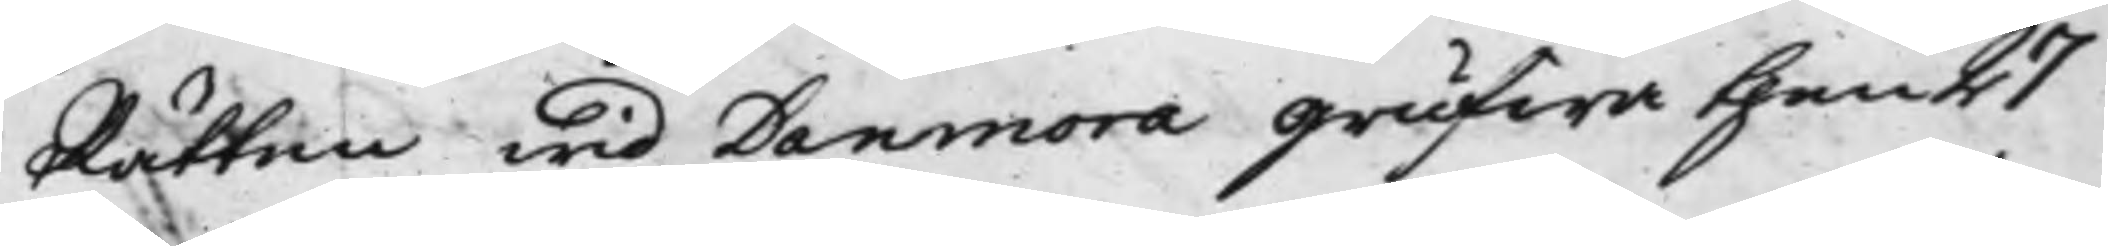Rätten wid Danmora Grufwa then 27
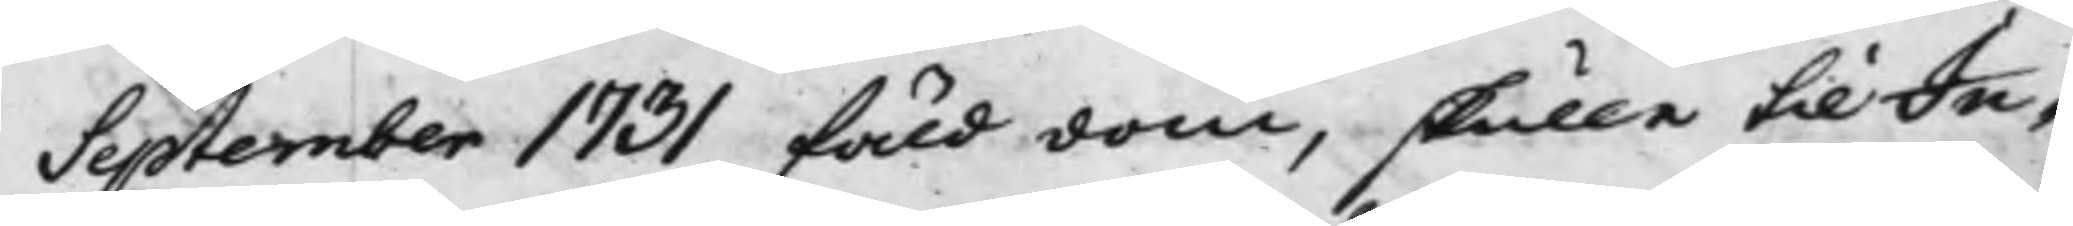September 1731 fäld dom, skulle till In¬
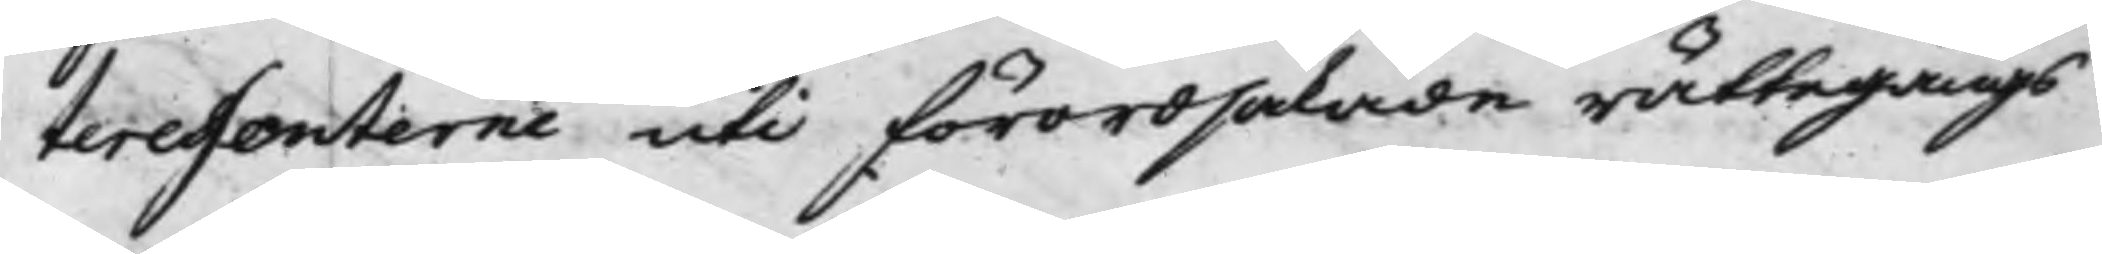teressenterne uti förordsakade rättegångs
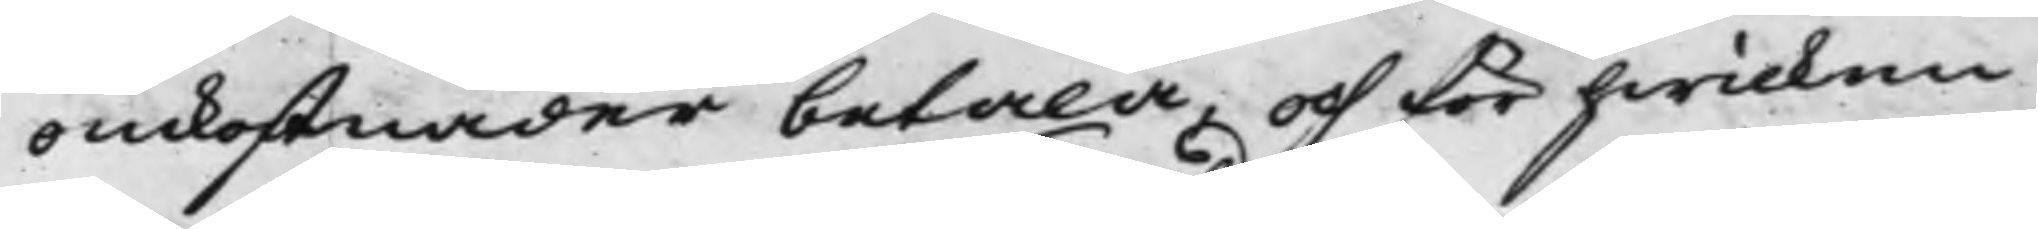omkostnader betala, och för hwilken
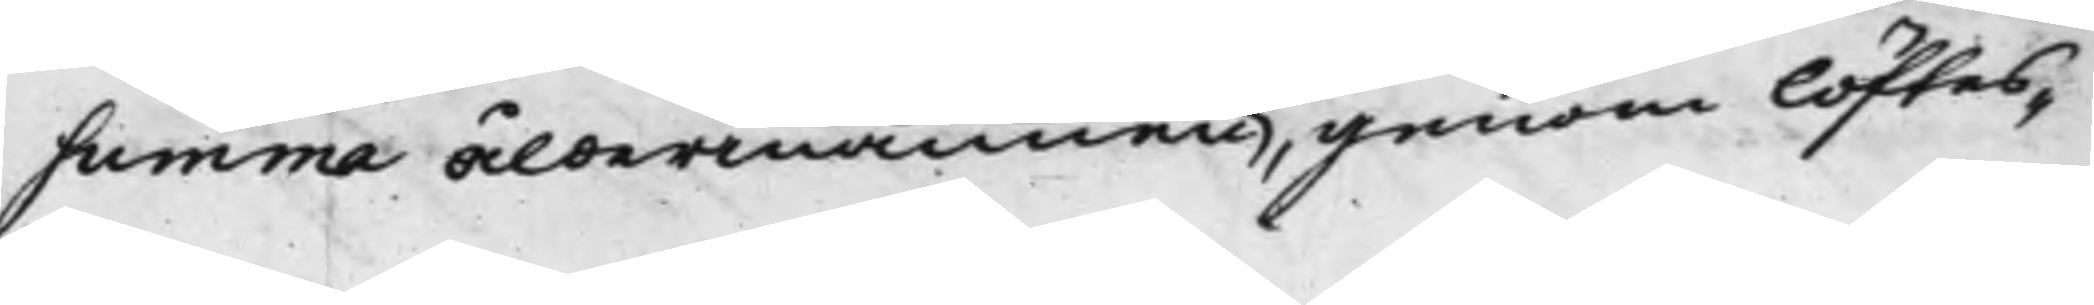summa åldermannen, genom löftes¬
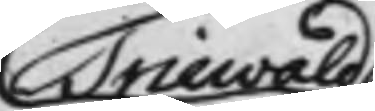Triewald
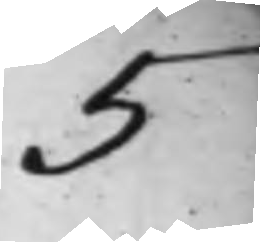5
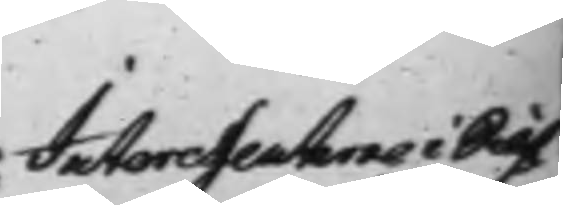Interessenters i Silf¬
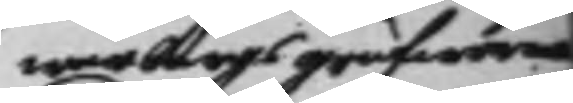werbergs grufworna
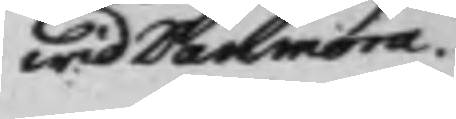wid Danmora.
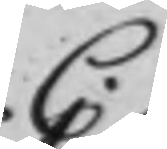C.
